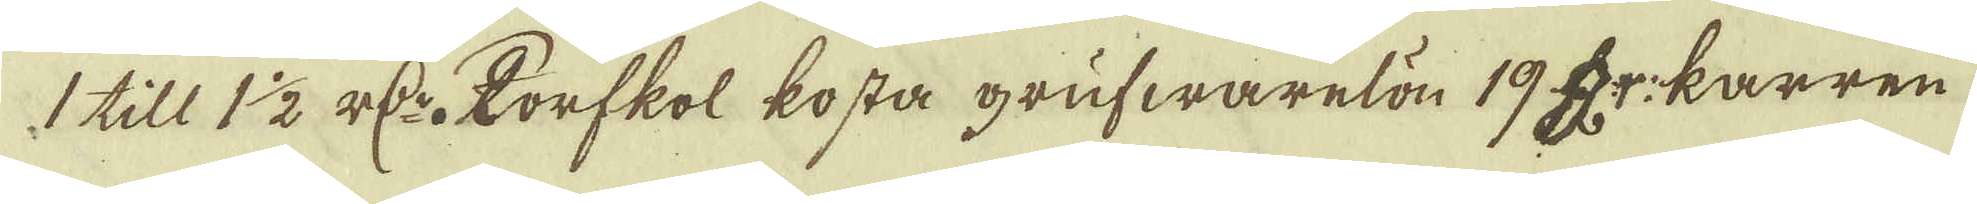1 till 1 1/2 r D:r. Torfkol kosta grufwarelön 19 Dr: karren
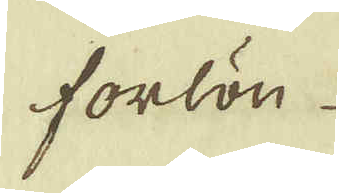forlön
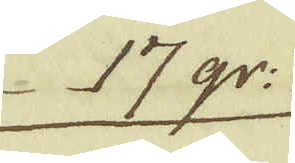17 gr:
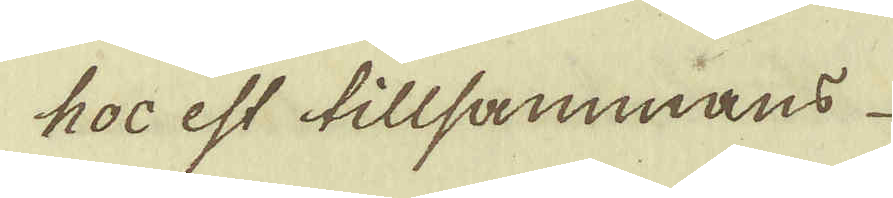hoc est tillsammans
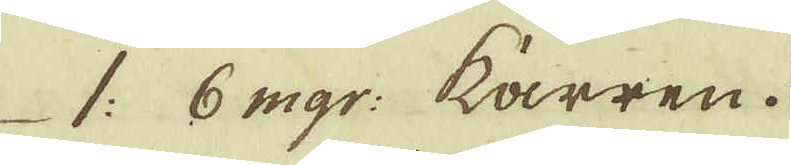1: 6 mgr: kärren.
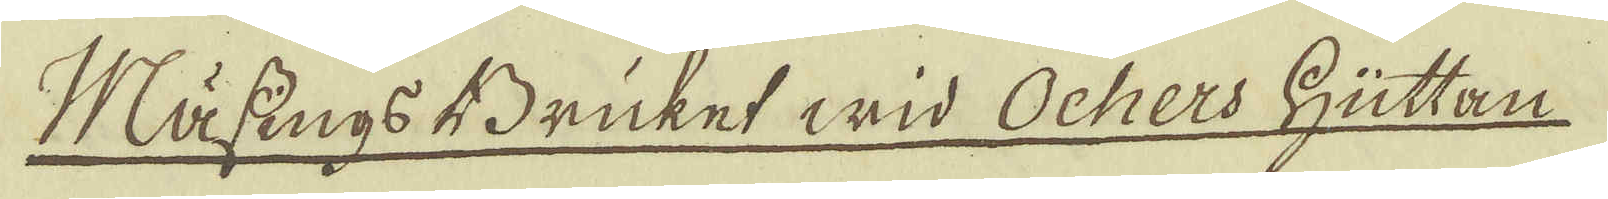Mässings Bruket wid Ochers Hüttan
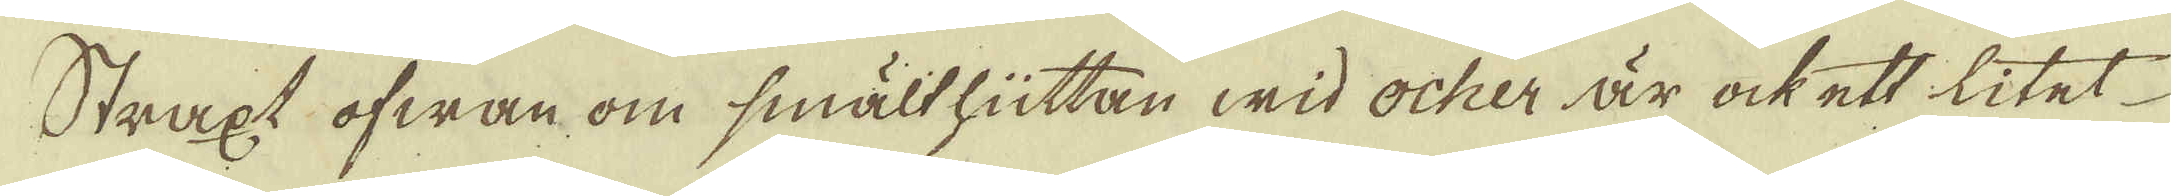Straxt ofwan om smälthüttan wid ocher är ock ett litet
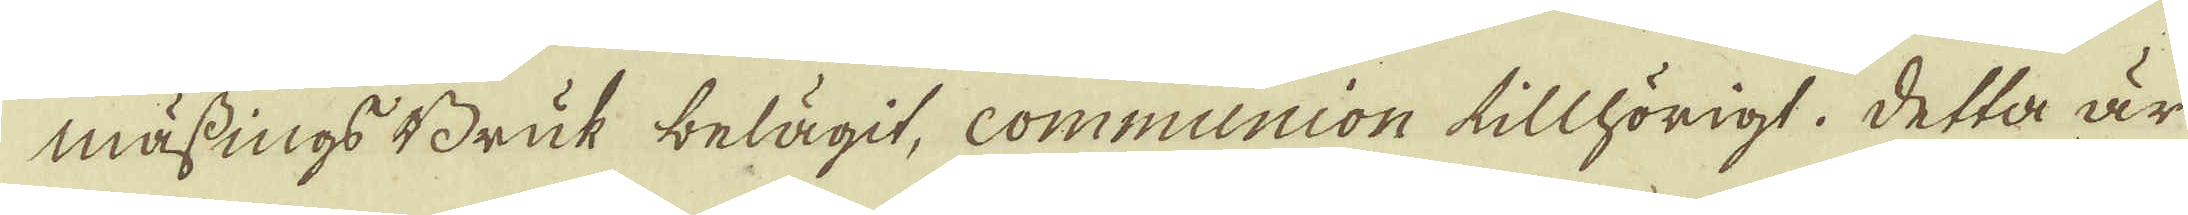mässings Bruk belägit, communion tillhörigt, detta är
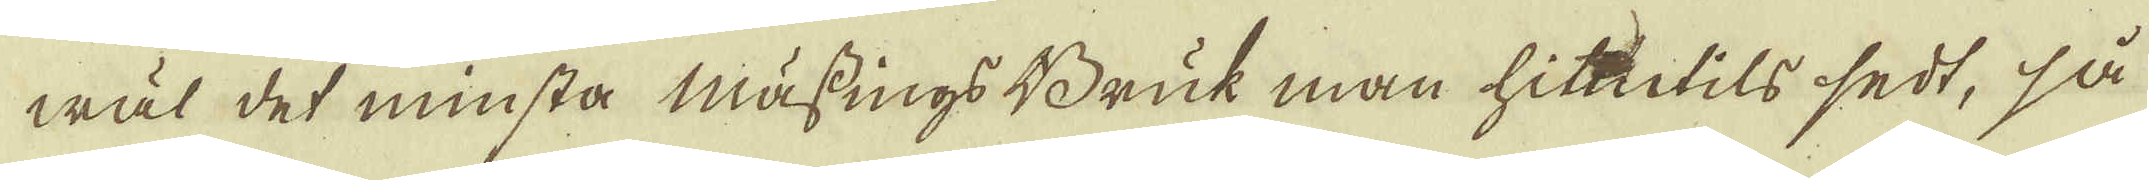wäl det minsta Mässings Bruk man hittils sedt, så
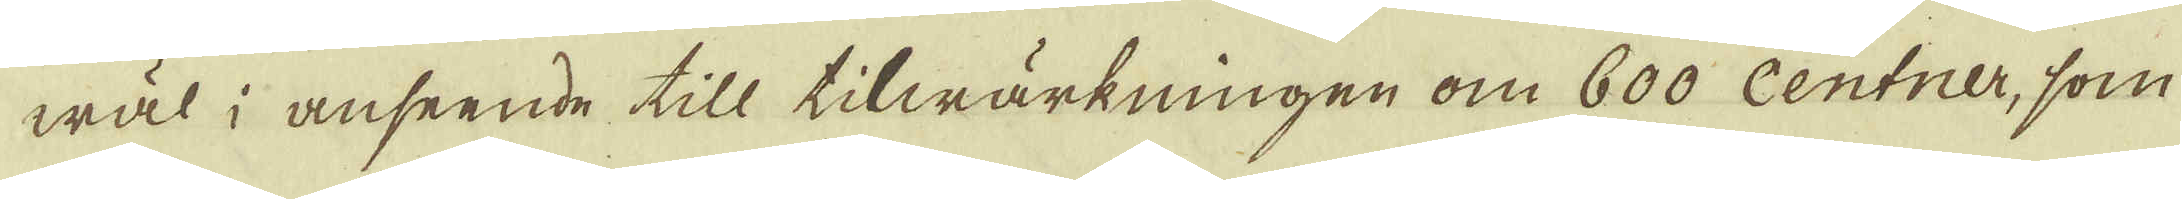wäl i anseende till tilwärkningen om 600 Centner, som
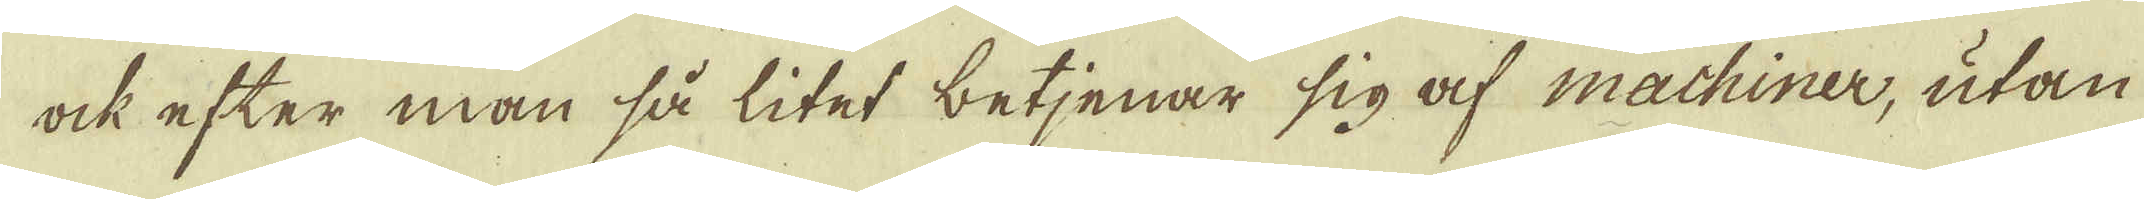ock efter man så litet betjenar sig af machiner, utan
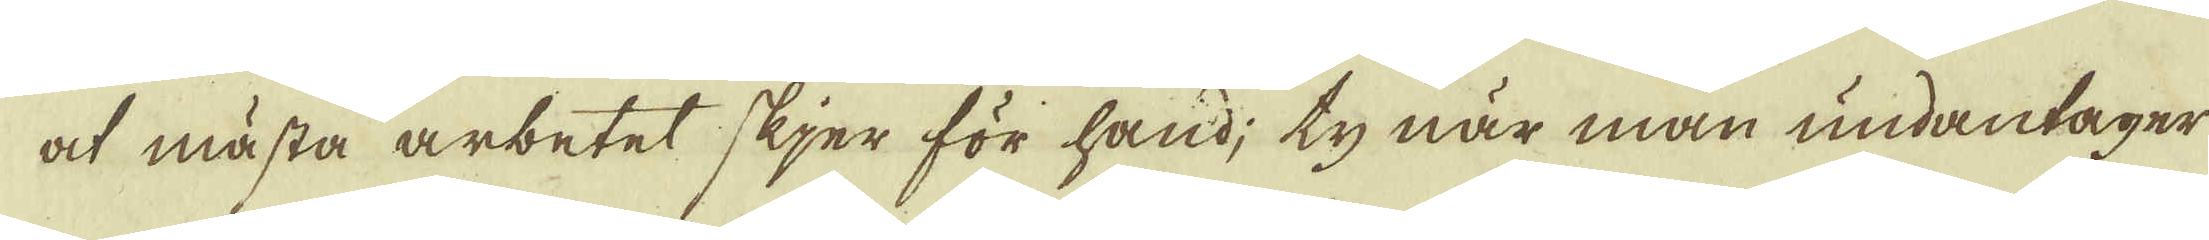at mästa arbetet skjer för hand; ty när man undantager
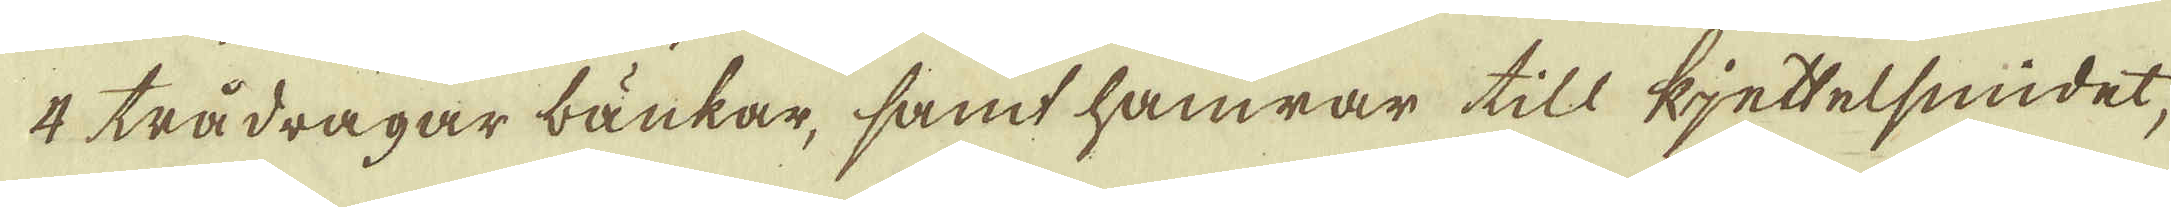4 trådragar bänkar, samt hamrar till kjettelsmidet
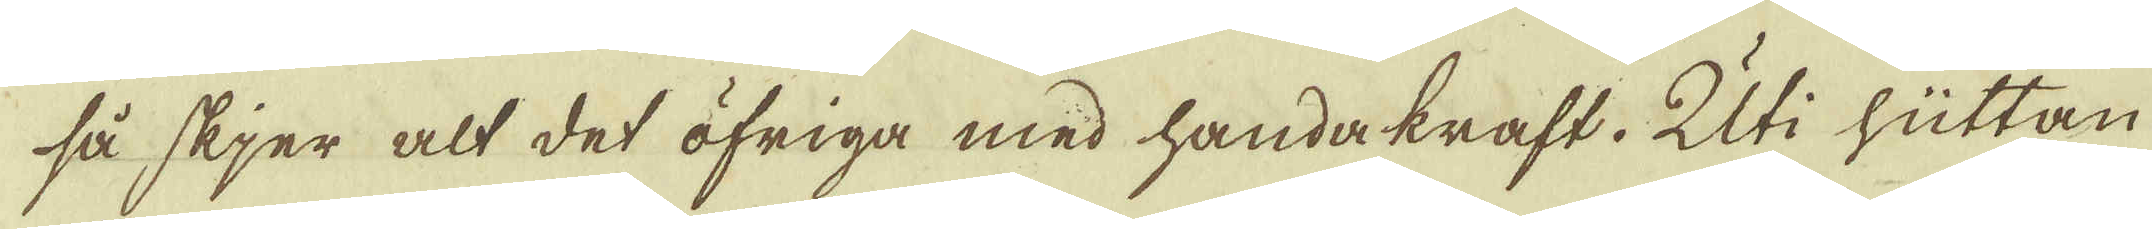så skjer alt det öfriga med handakraft. Uti hüttan
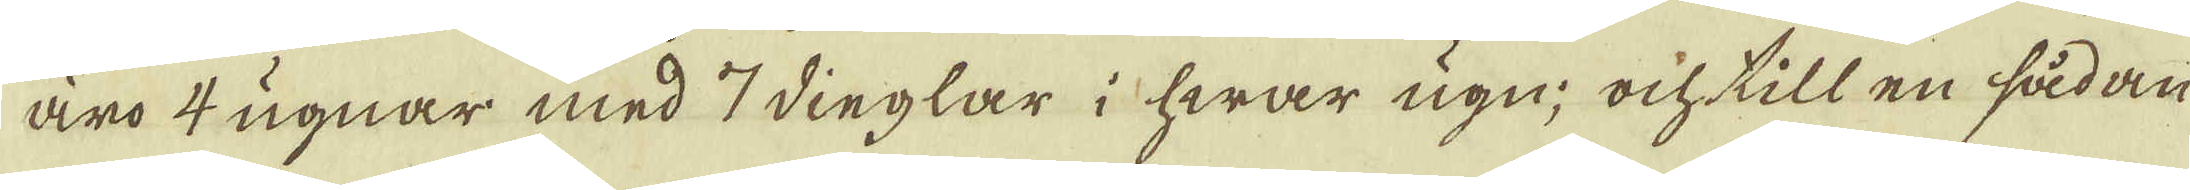äro 4 ugnar med 7 dinglar i hwar ugn; ock till en sådan
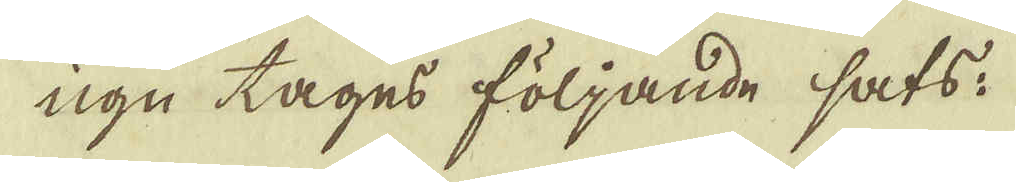ugn tages följande sats.
